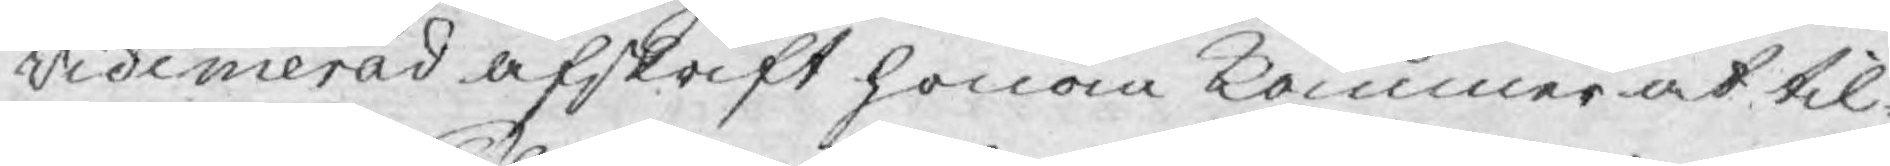videmerad afskrift honom kommer at til¬
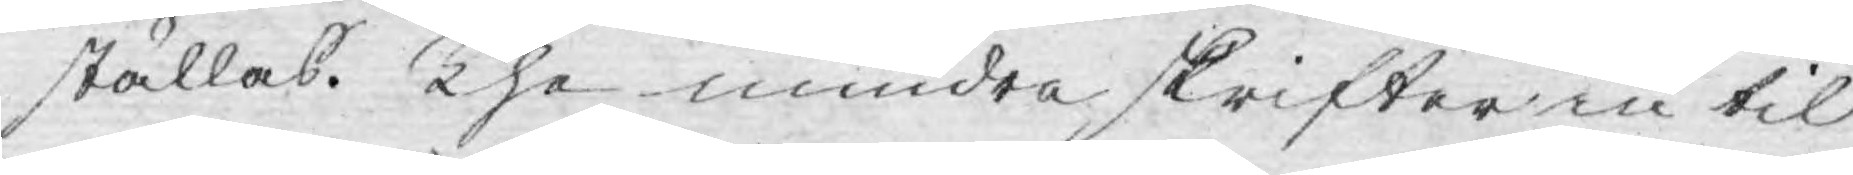ställas. The mindre skrifter in til
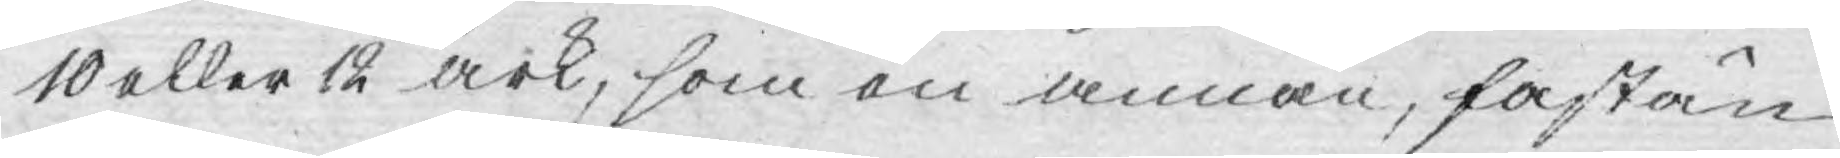10 eller 12 ark, som en annan, fastän
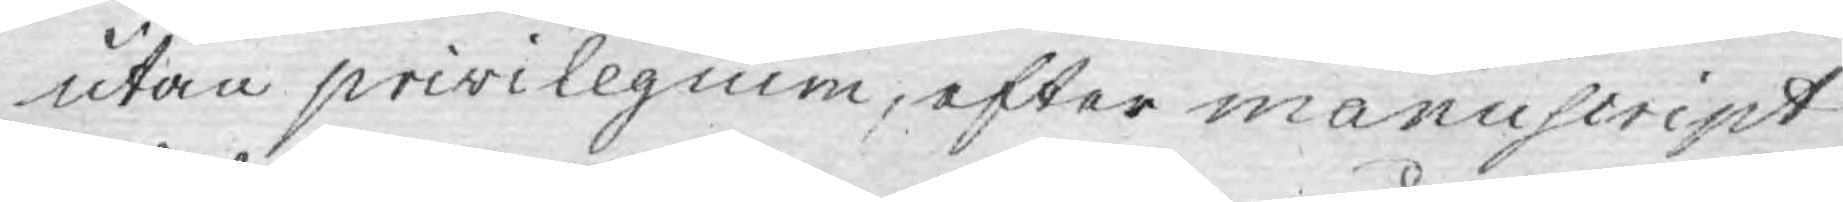utan privilegium, efter manuscript
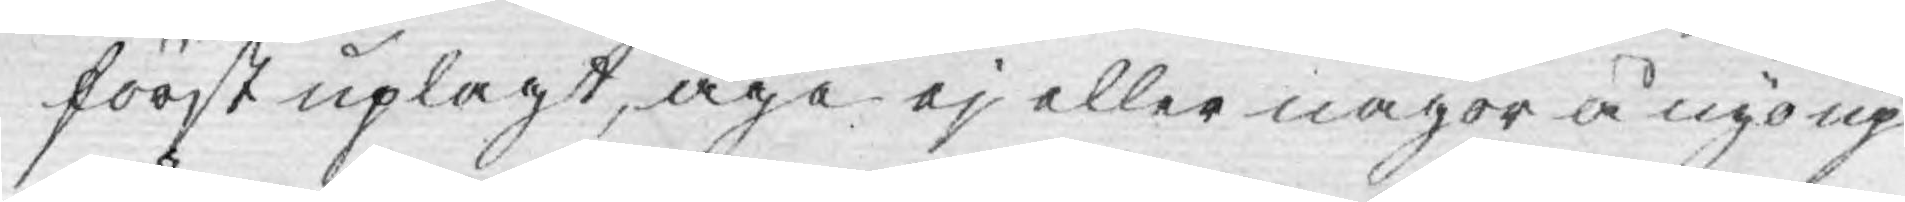först uplagt, äga ej eller någor å nyo up¬
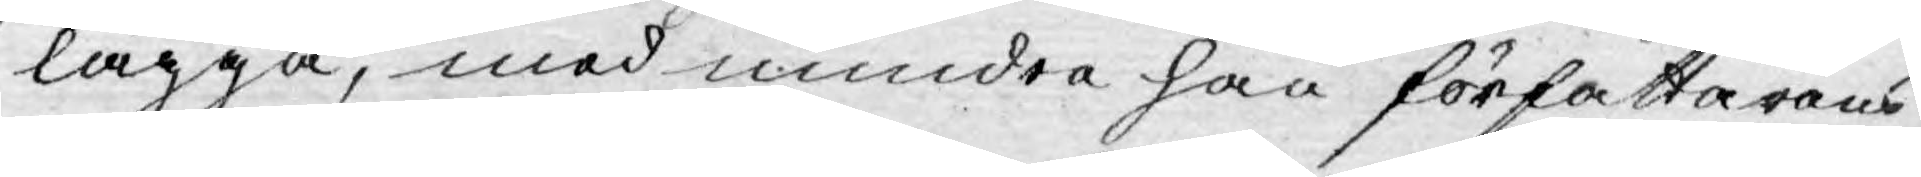lägga, med mindre han författarens
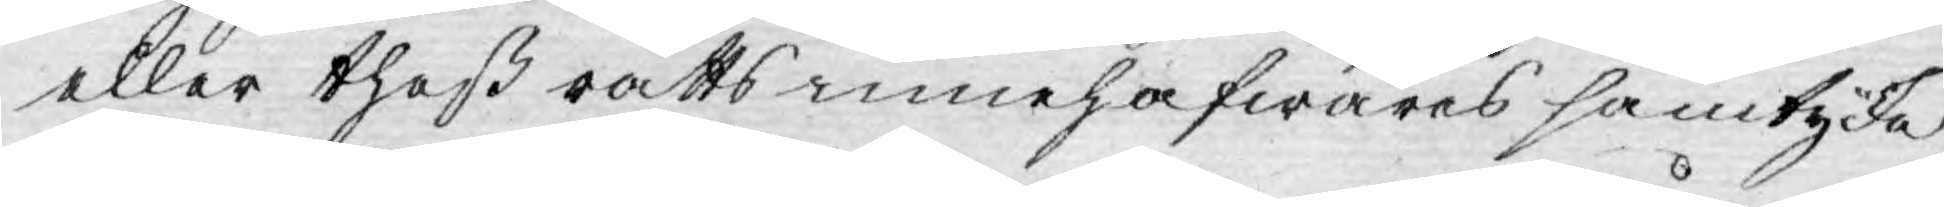eller theß rätts innehafwares samtycke
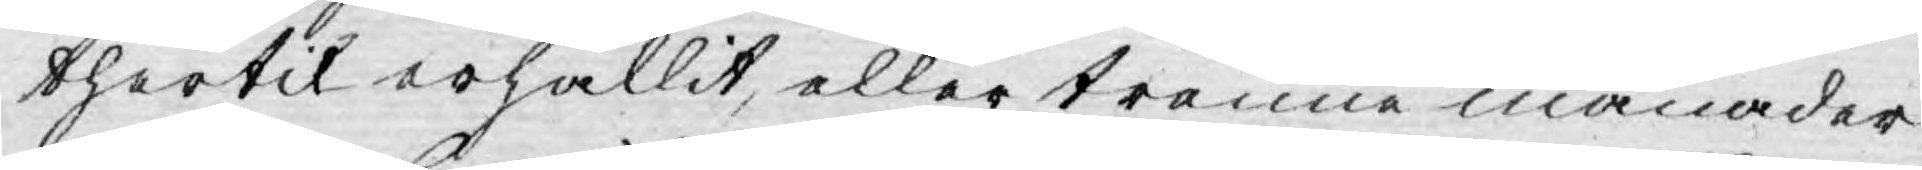thertil erhållit, eller trenne månader
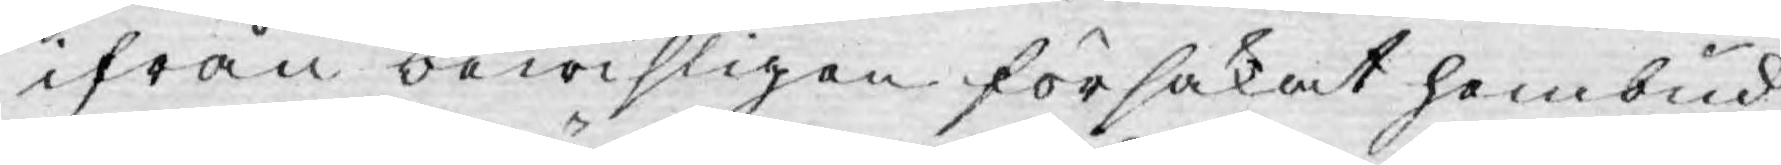ifrån bewisligen försakat hembud,
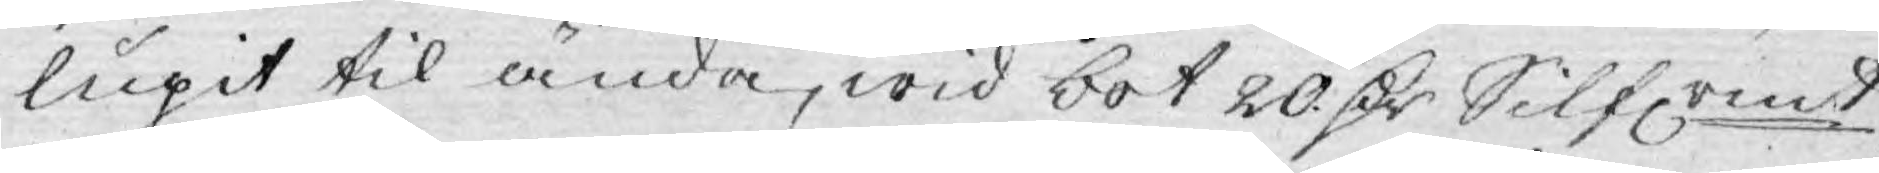lupit til ända, wid bot 20 D:r Silfrmt
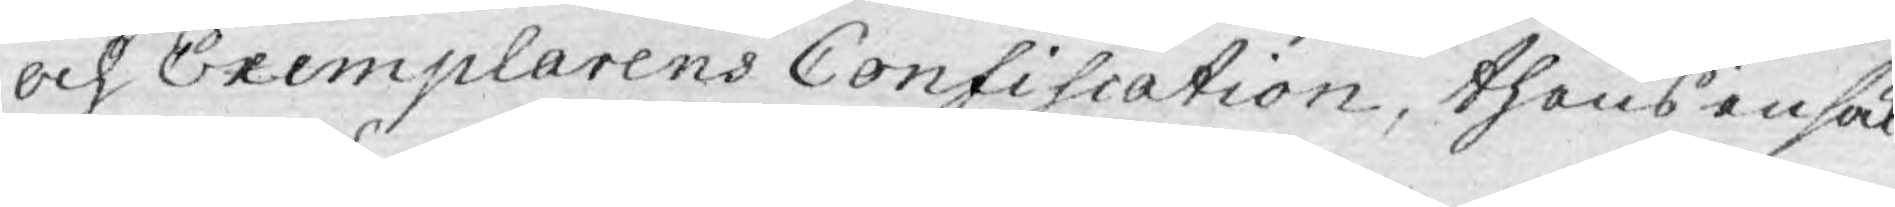och Exemplarens Confiscation, thens ensak
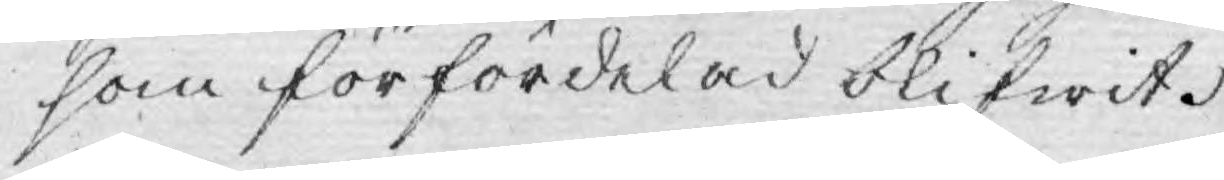som förfördelad blifwit.
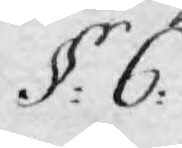§: 6.
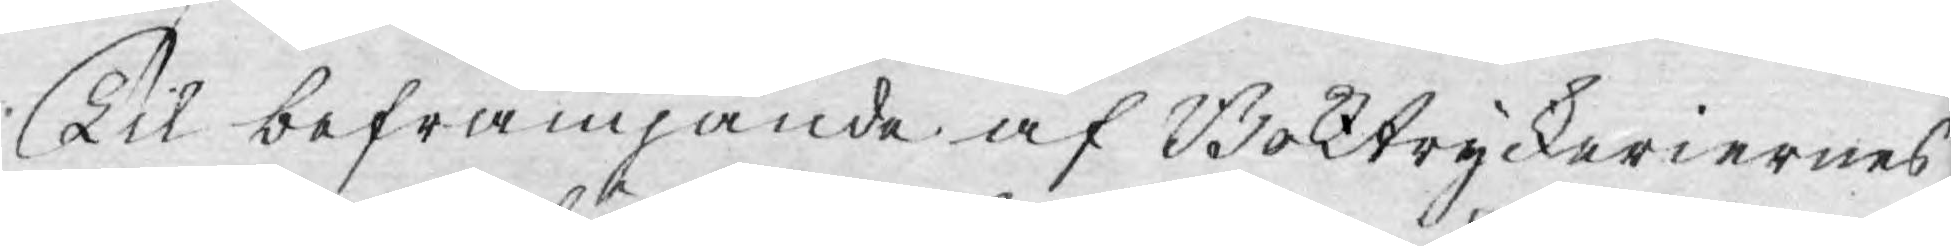Til befrämjande af Boktryckeriernes
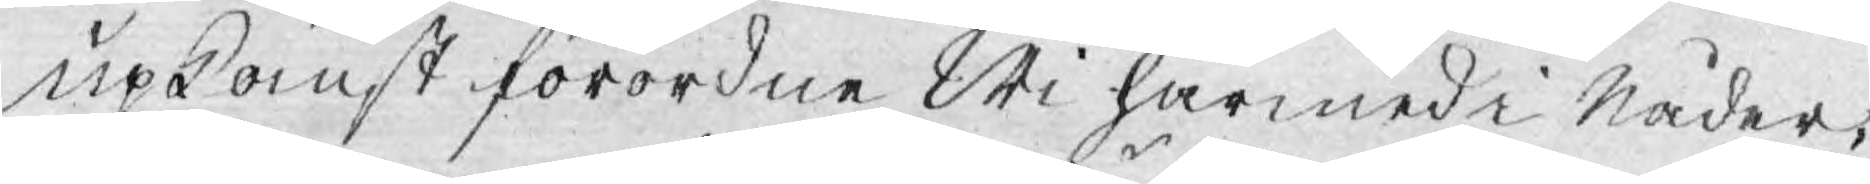upkomst förordne Wi härmed i Nåder,
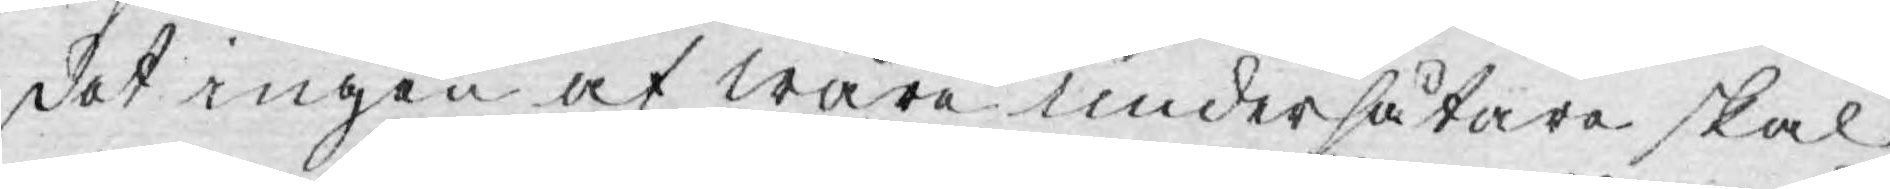det ingen af wåra undersåtare skal
